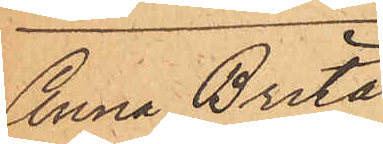Anna Brita
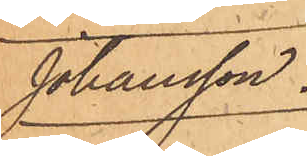Johansson.
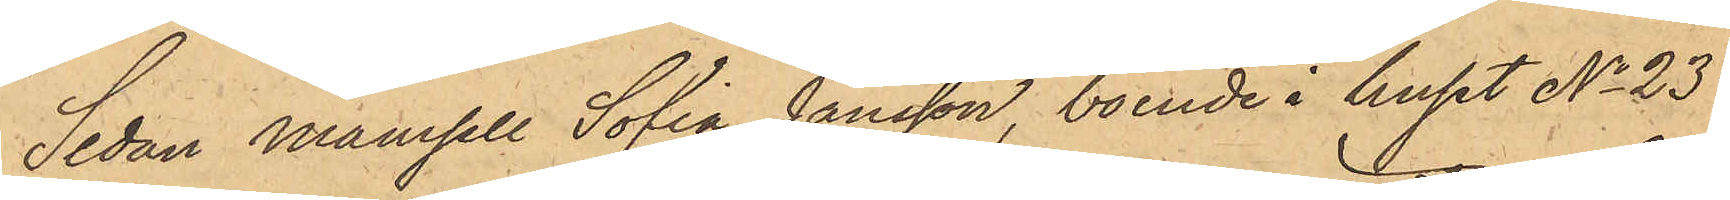Sedan Mamsell Sofia Jansson, boende i huset No 23
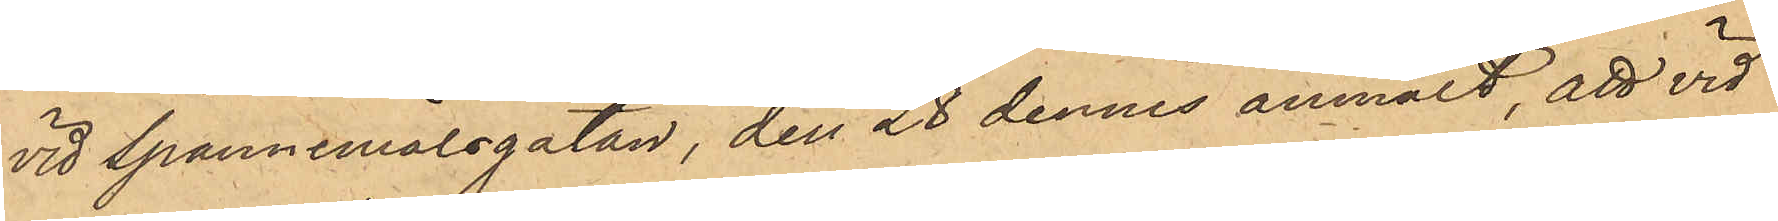vid Spannemålsgatan, den 28 dennes anmält, att vid
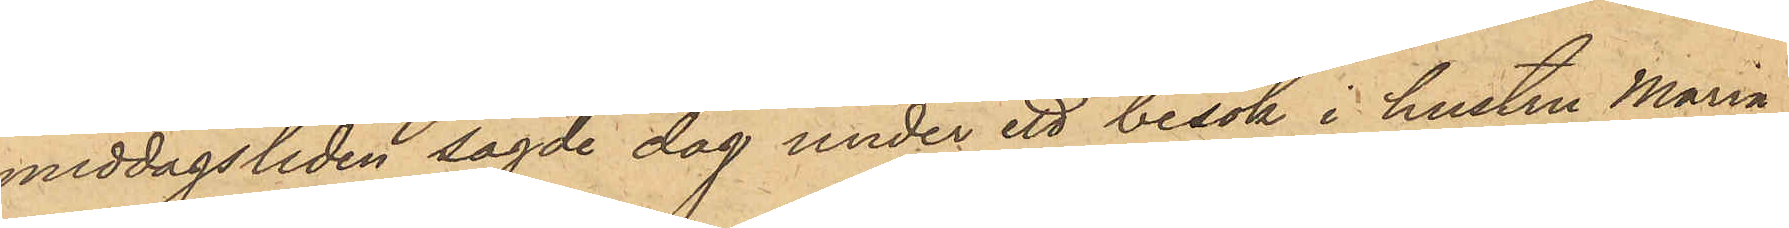middagstiden sagde dag under ett besök i hustru Maria
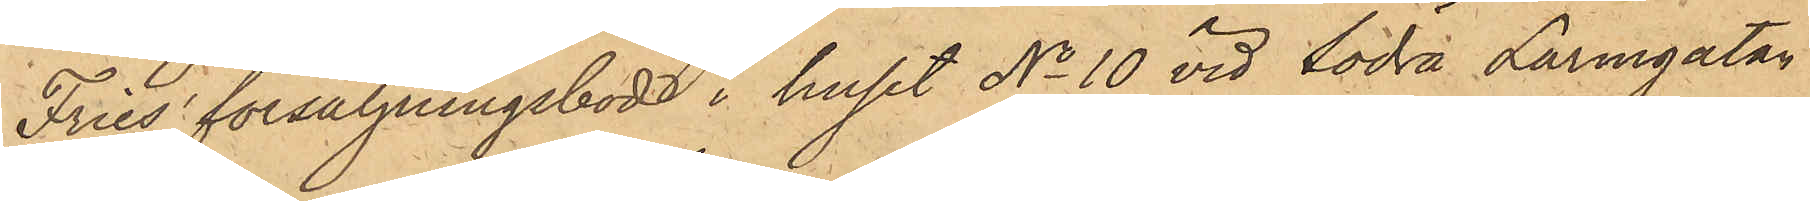Fries' försäljningsbod i huset No 10 vid Södra Larmgatan
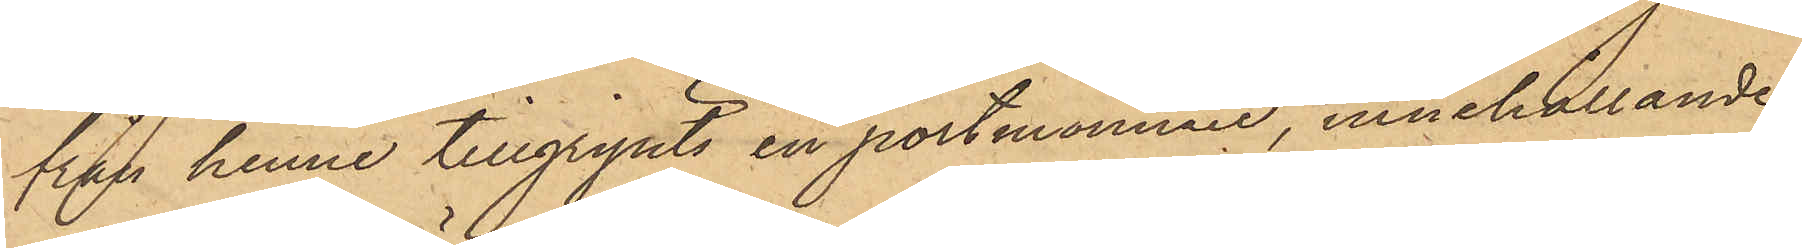från henne tillgripits en portmonnnaie, innehållande
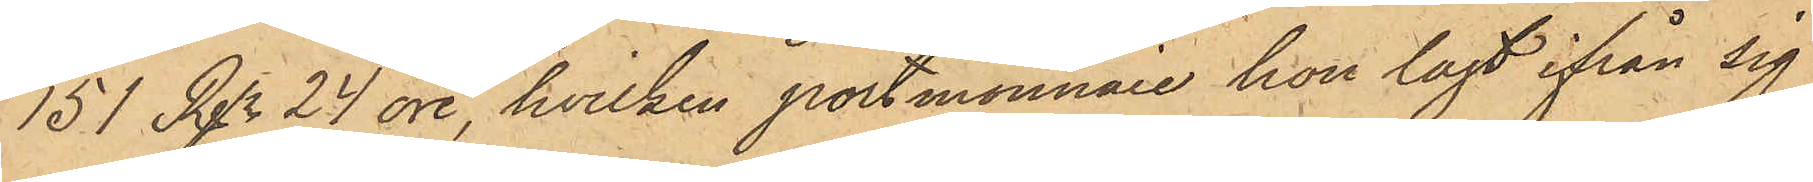151 Rgr 24 öre, hvilken portmonnaie hon lagt ifrån sig
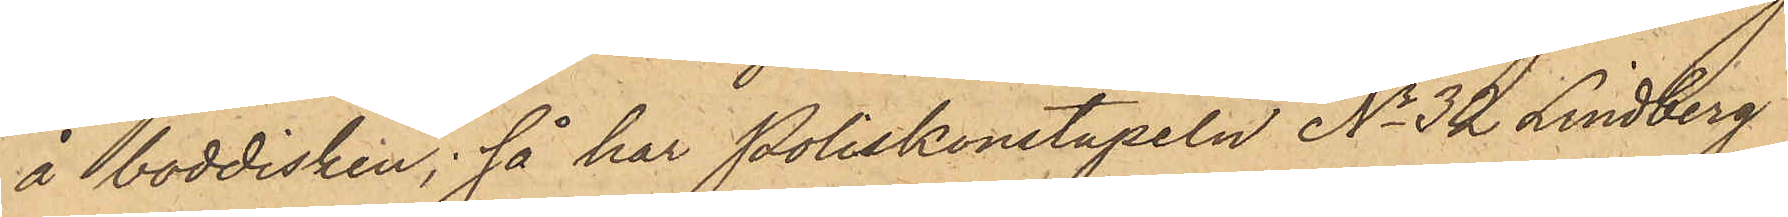å boddisken; så har Poliskonstapeln No 32 Lindberg
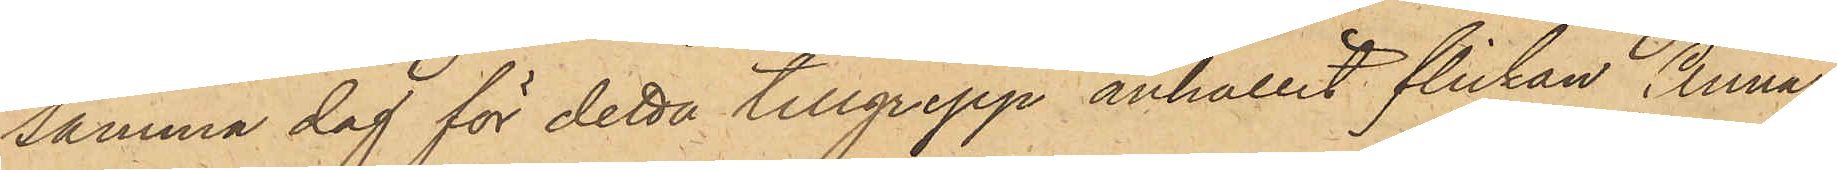samma dag för detta tillgrepp anhållit flickan Anna
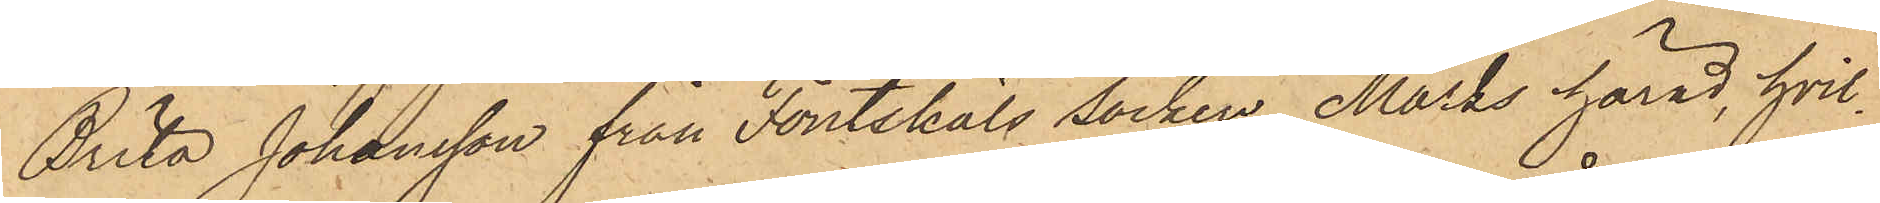Brita Johansson från Foutskäls Socken, Marks härad, hvil¬
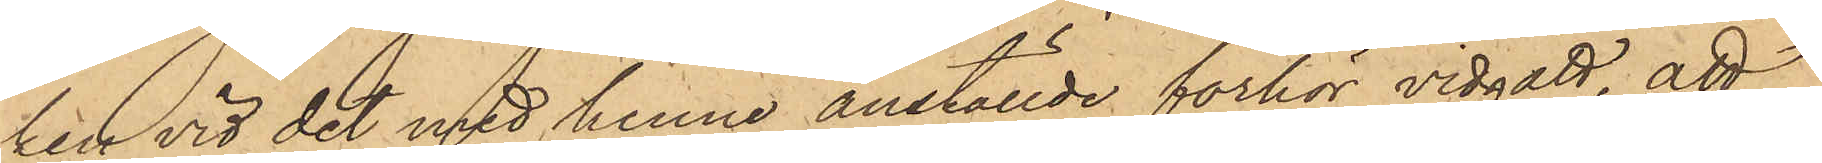ken vid det med henne anställde förhör vidgått, att
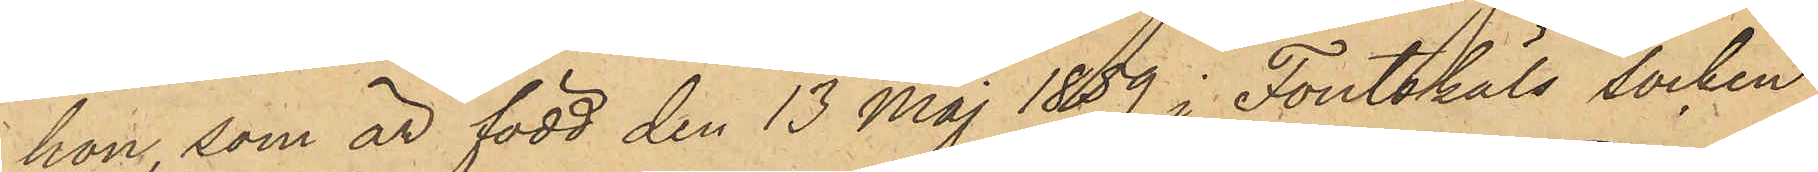hon, som är född den 13 Maj 1859 i Foutskäls Socken
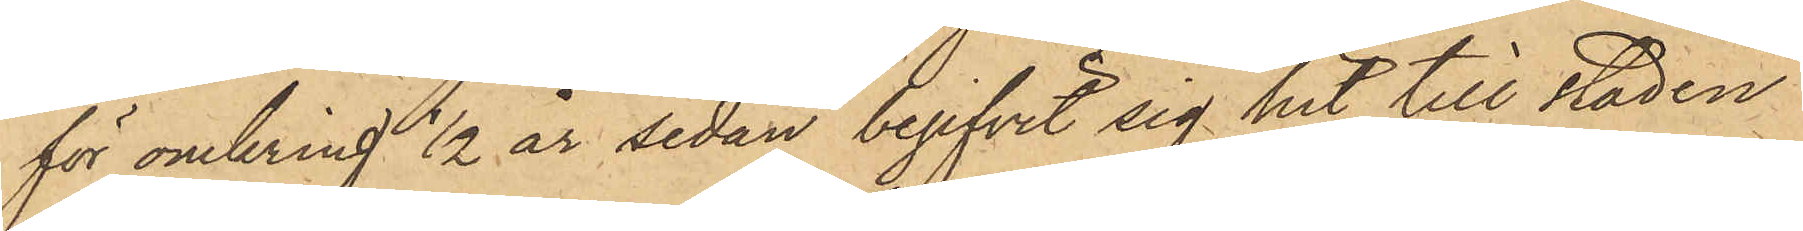för omkring 1/2 år sedan begifvit sig hit till staden
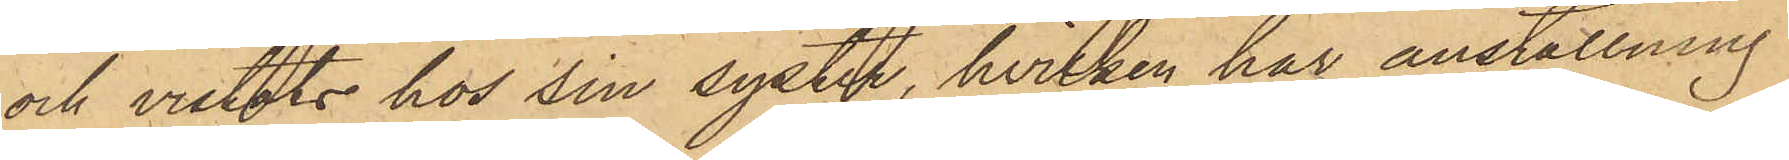och vistats hos sin syster, hvilken har anställning
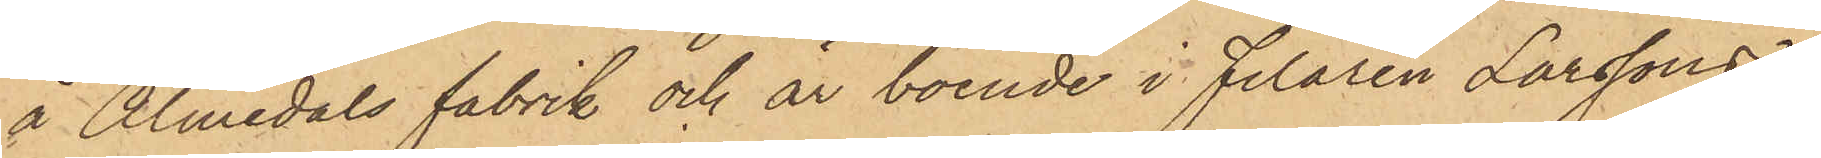å Almedals fabrik och är boende i Filaren Larssons
